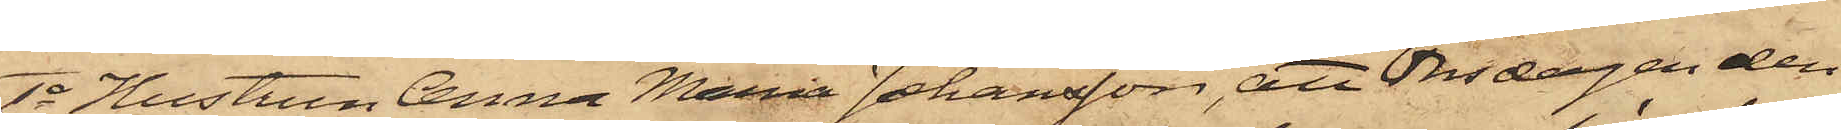1o Hustrun Anna Maria Johansson, att Onsdagen den
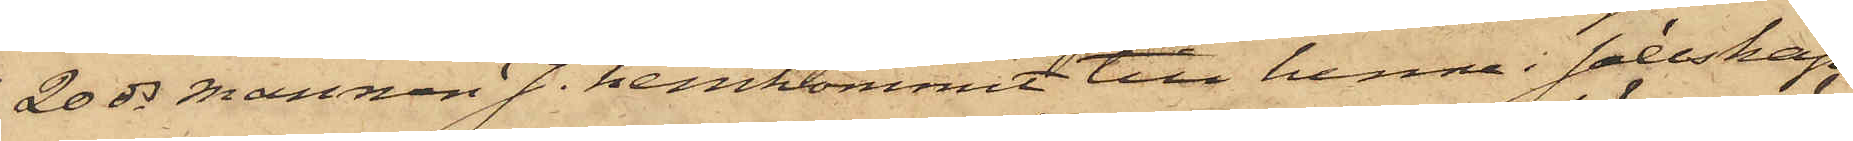20 ds mannen J. hemkommit till henne i sällskap
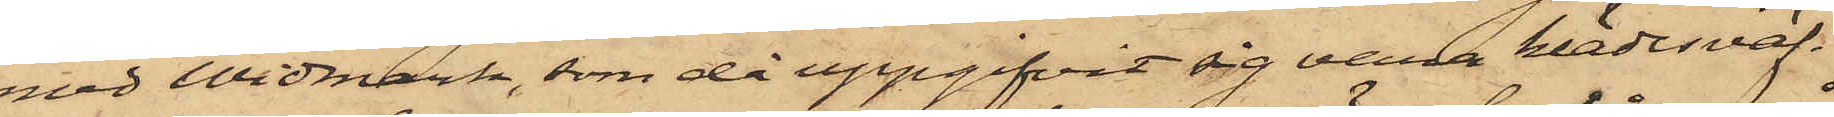med Widmark, som då uppgifvit sig vara klädesväf¬
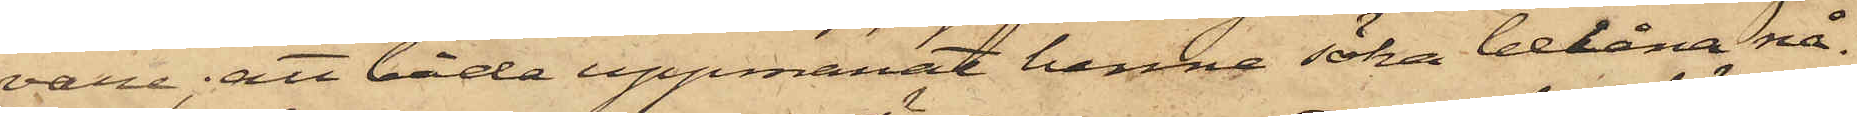vare; att båda uppmanat henne söka belåna nå¬
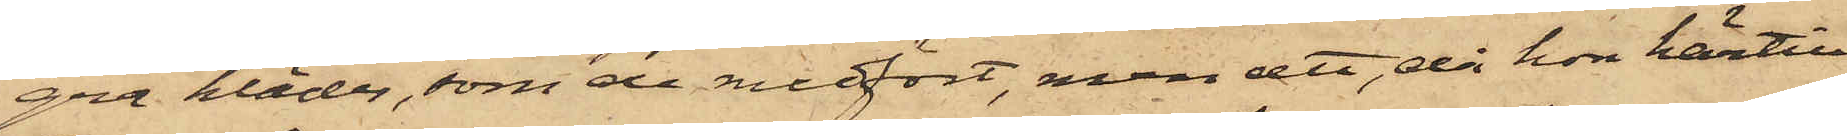gra kläder, som de medfört, men att, då hon härtill
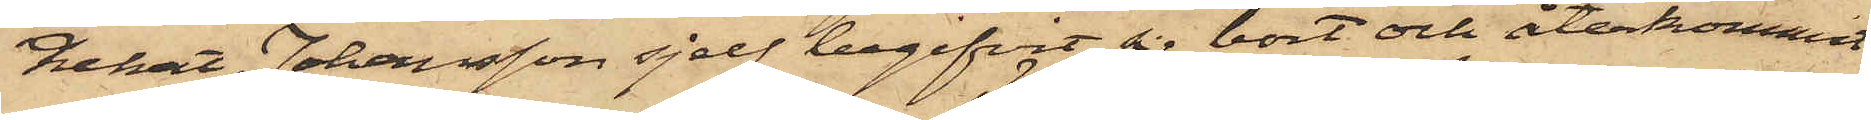nekat, Johansson sjelf begifvit sig bort och återkommit
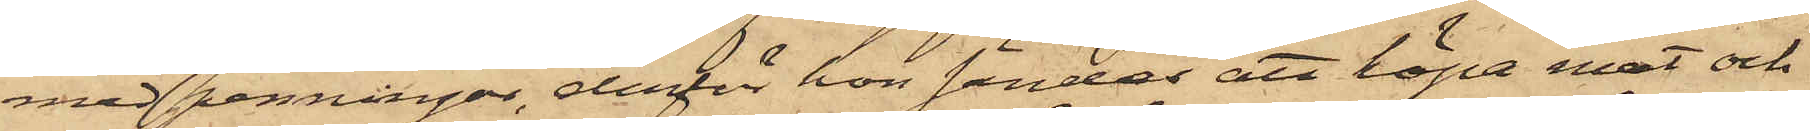med penningar, derför hon sändes att köpa mat och
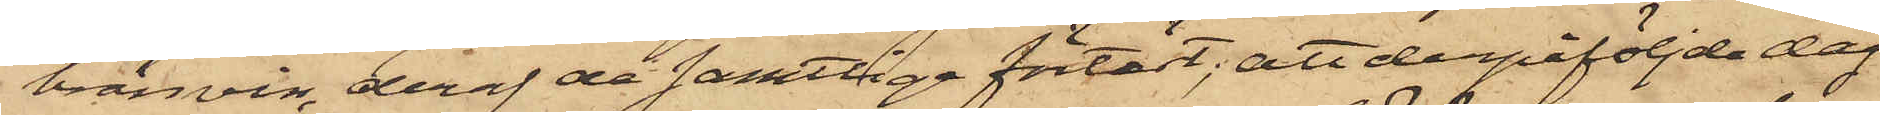bränvin, deraf de samtliga förtärt; att derpåföljde dag
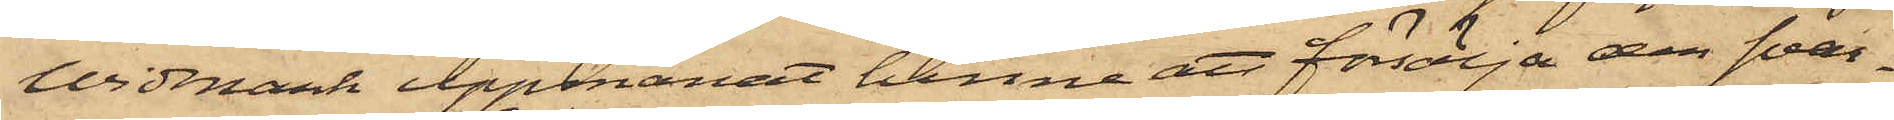Widmark uppmanat henne att försälja den svar¬
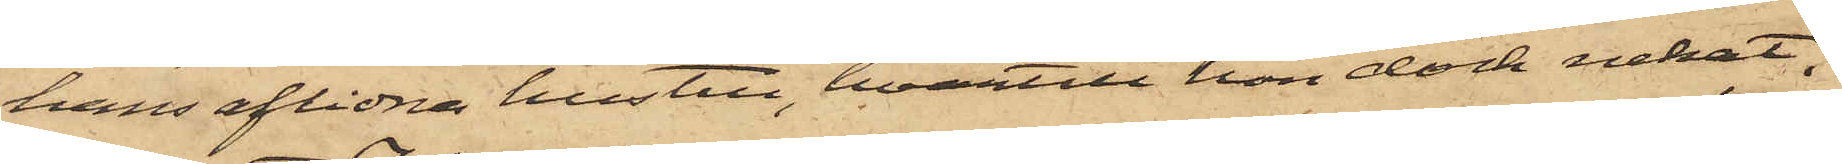hans aflidna hustru, hvartill hon dock nekat;
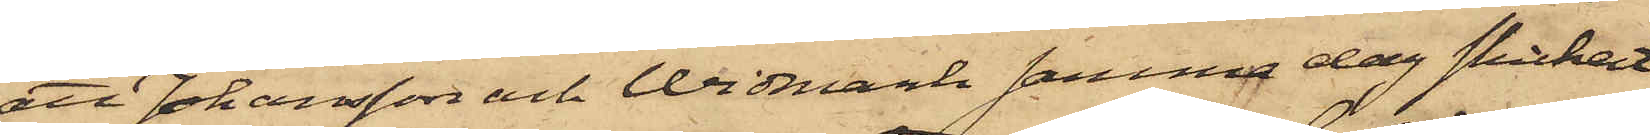att Johansson och Widmark samma dag skickat
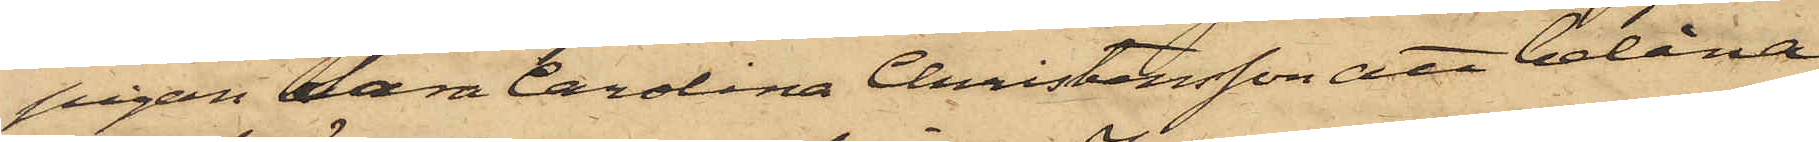pigan Sara Carolina Christensson att belåna
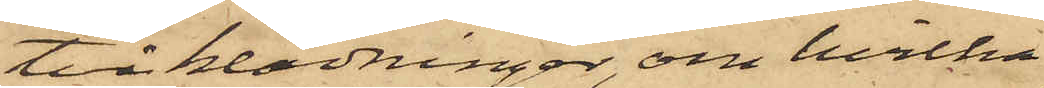två klädningar, om hvilka
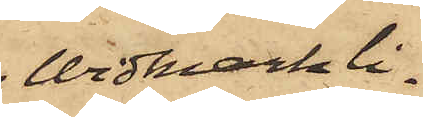Widmark li¬
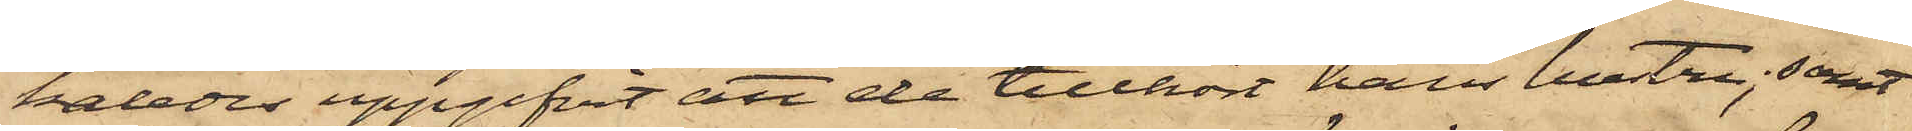kaledes uppgifvit att de tillhört hans hustru; samt
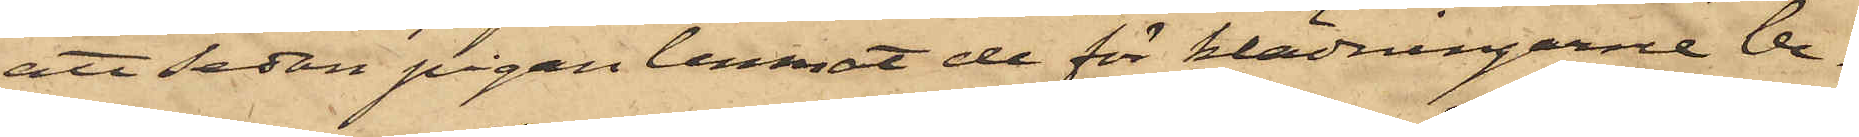att sedan pigan lemnat de för klädningarne be¬
